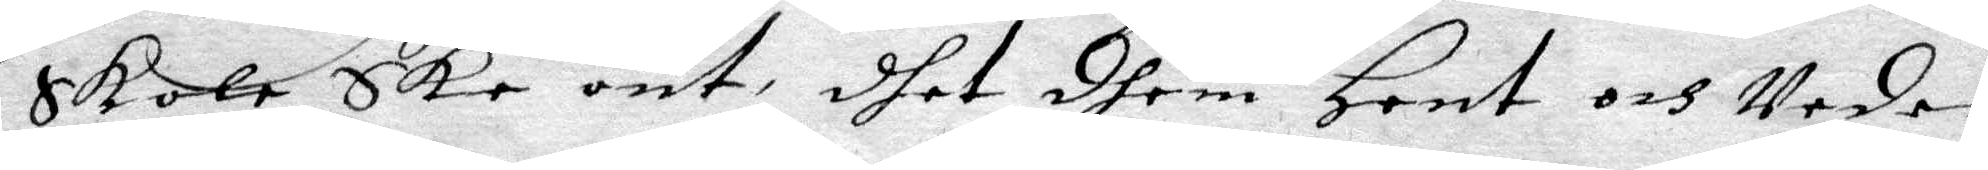Skola Ske ont, dhet dhem Hent och Veder¬
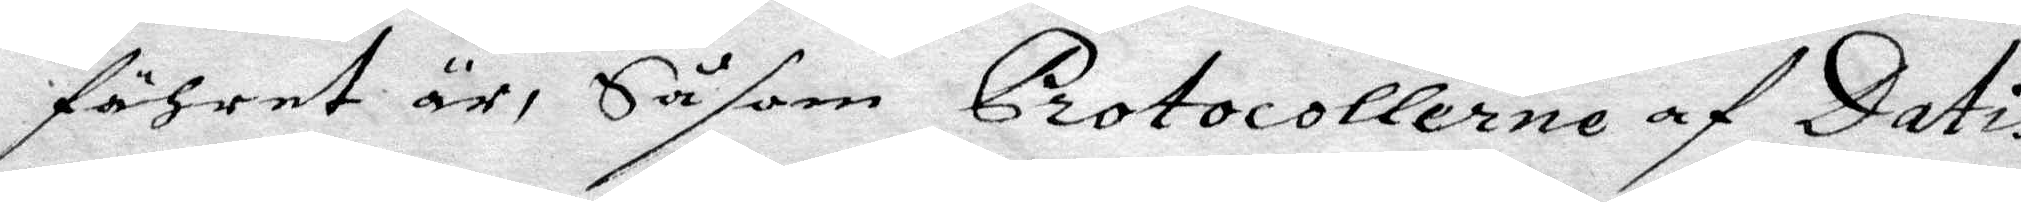föhret är, Såsom Protocollerne af Datis
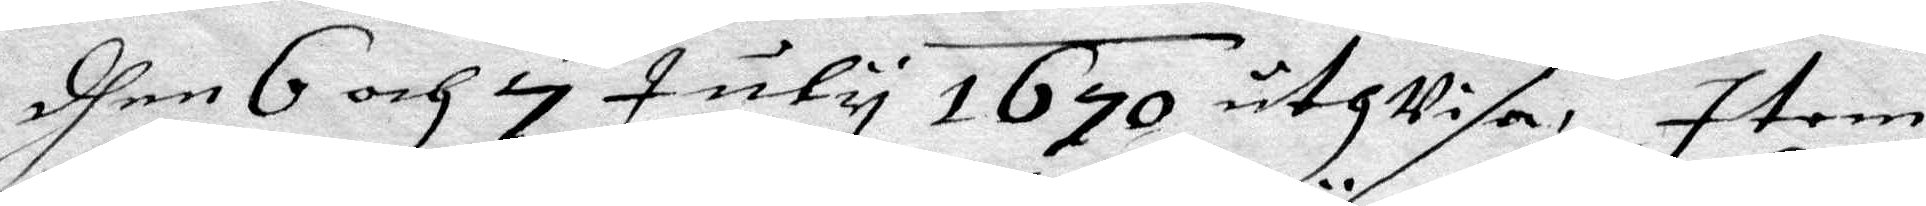dhen 6 och 7 July 1670 uthVisa, item
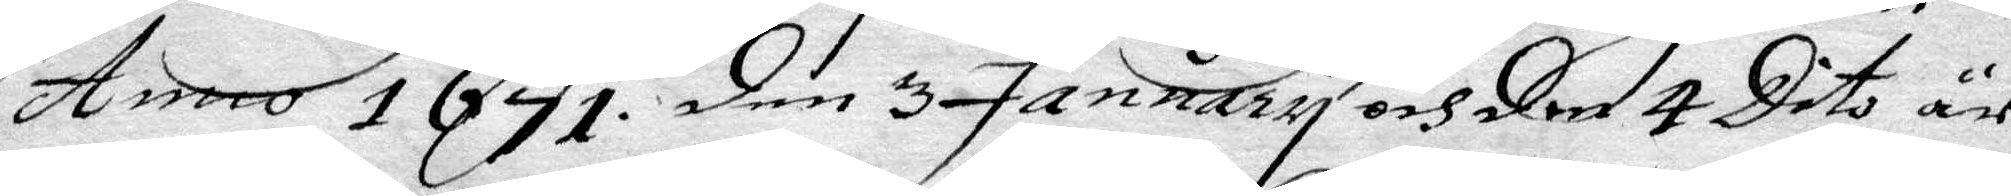Anno 1671 den 3 January och den 4 Dito är
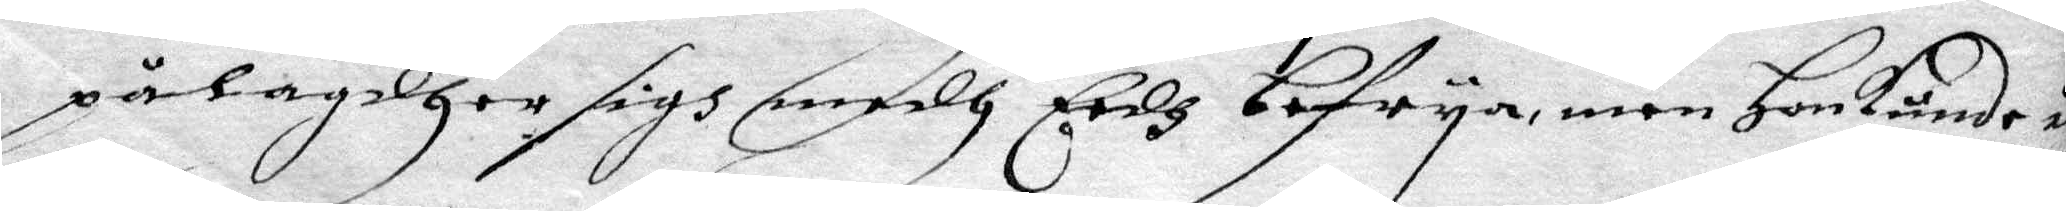pålagdher sigh medh eedh befrya, men Hon kunde ig
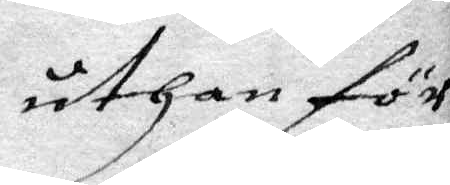uthan för¬
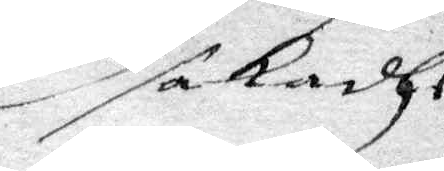sakadhe
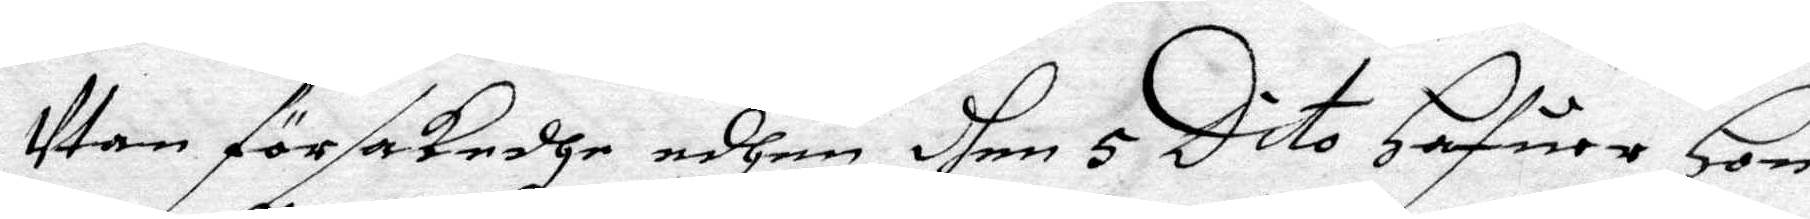Utan försakadhe edhen dhen 5 Dito Hafuer Hon
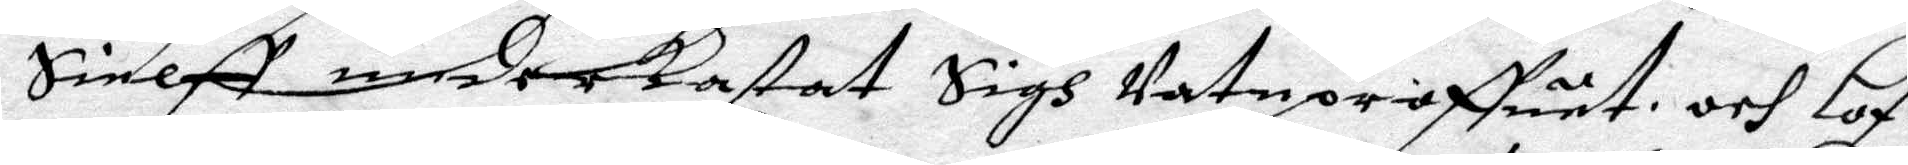Sielff underkastat Sigh Vatuproffuet och Lof¬
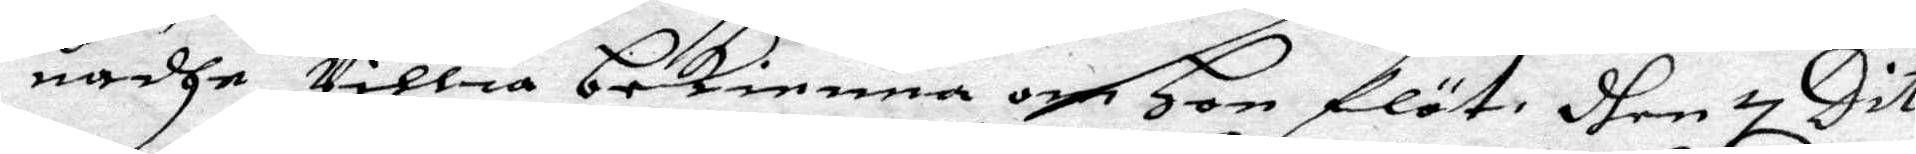nådhe Villia bekienna om Hon flöt, dhen 7 Dito
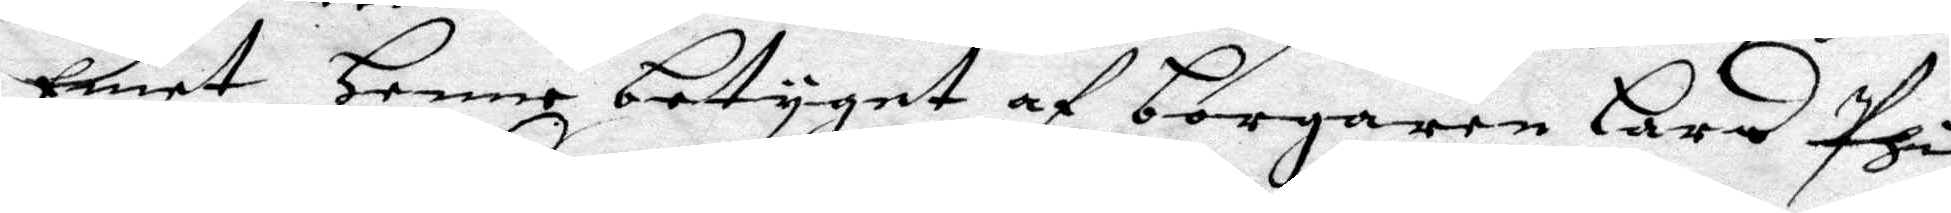Emot Henne betyget af borgaren Lars Phil¬
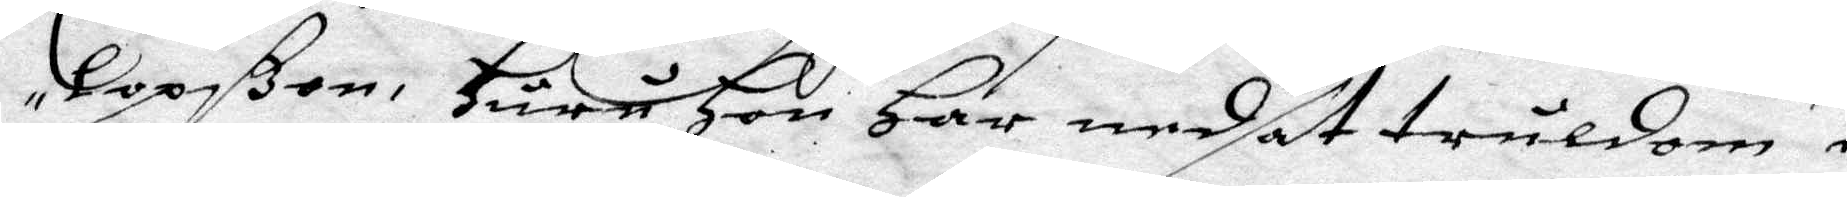lopsßon, Huru Hon Har nedsat truldom i
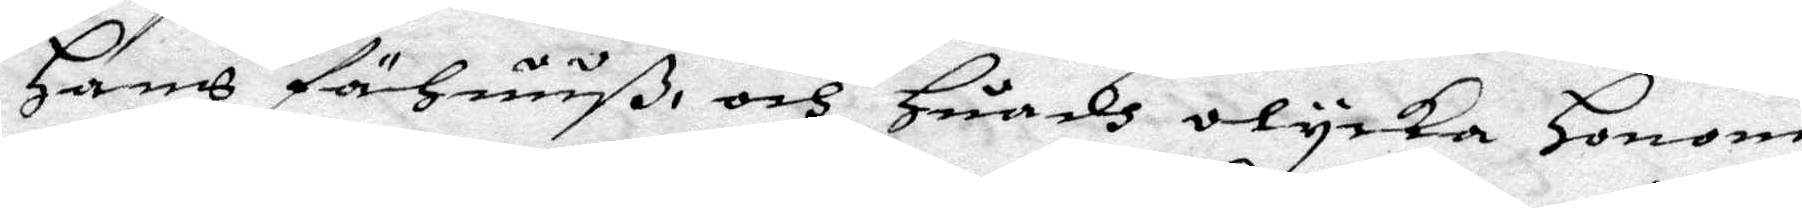Hans fähuuß, och Huadh olycka Honom
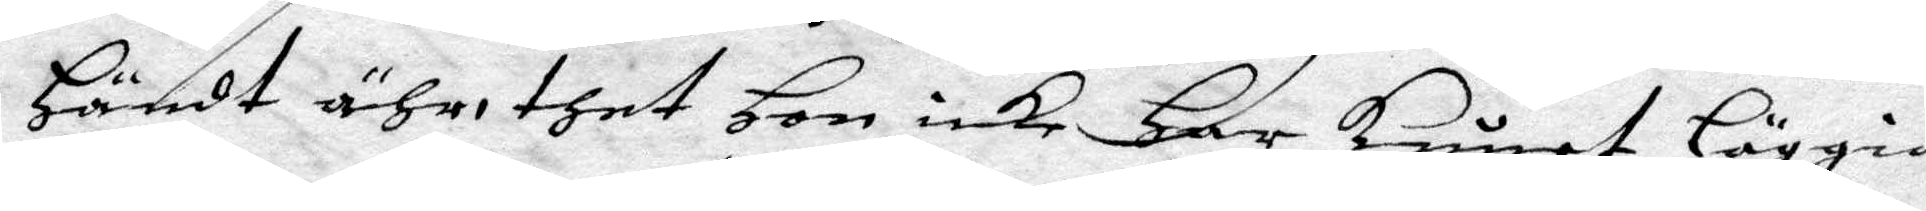Händt ähr, ther Hon icke Har kunat läggia
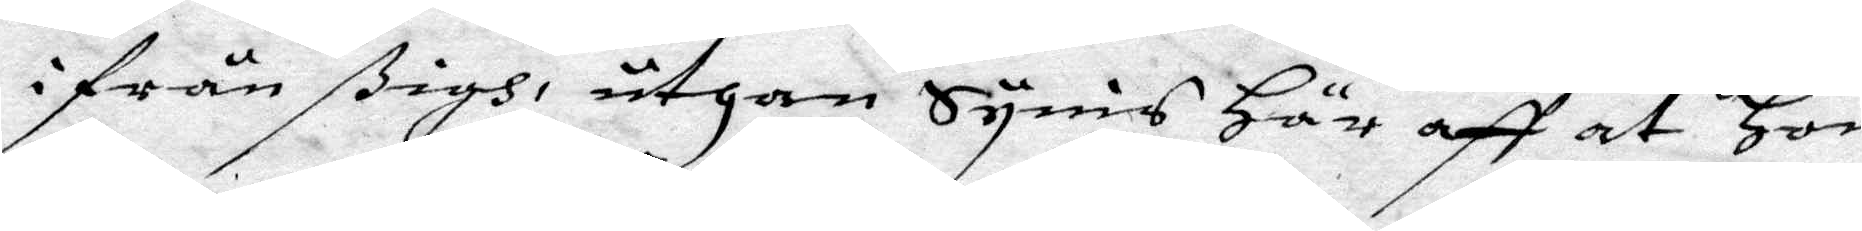ifrån ßigh, uthan Synis Här aff at Hon
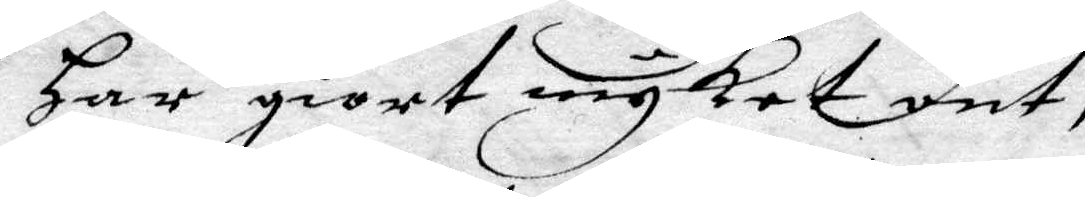Har giort mycket ont,
